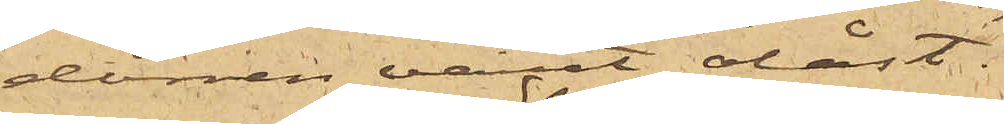dörren varit olåst.
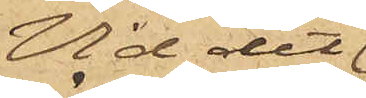Vid det
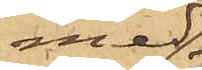med
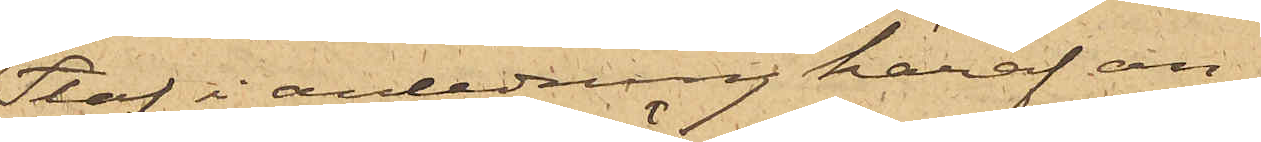Staf i anledning häraf an¬
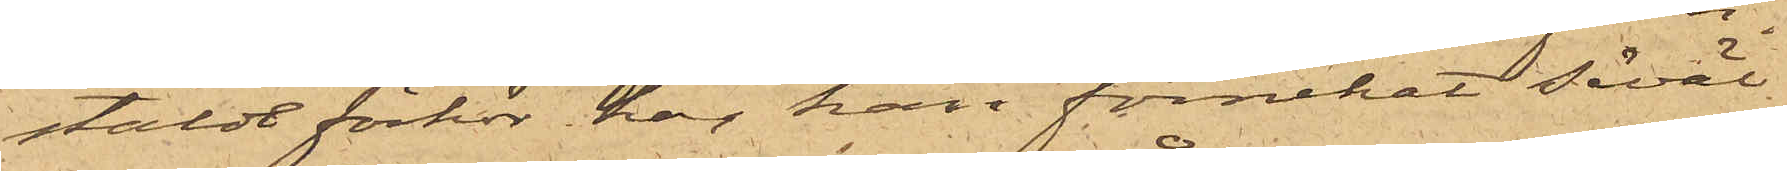stälde förhör har han förnekat såväl
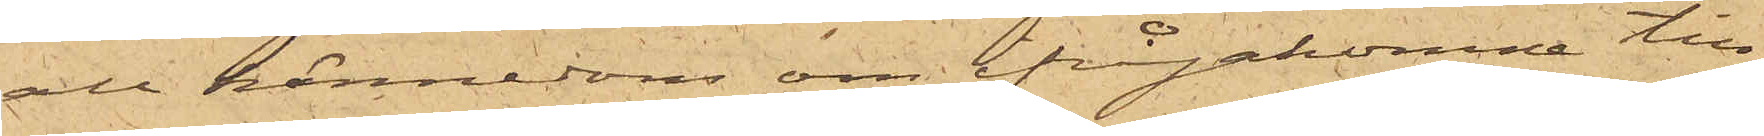all kännedom om ifrågakomne till¬
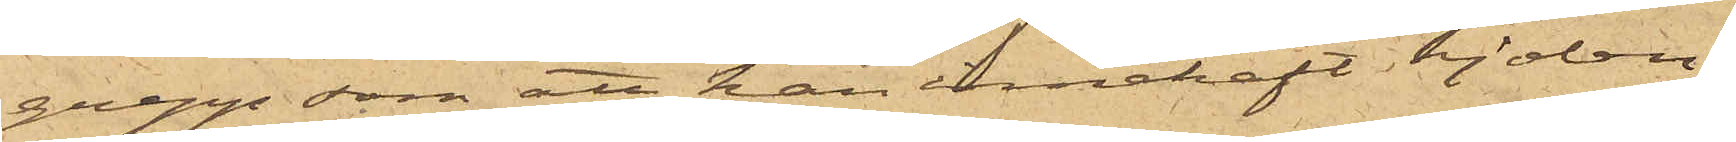grepp som att han innehaft kjolen.
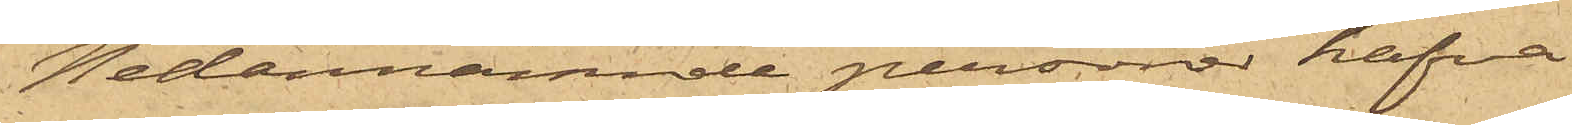Nedannämnde personer hafva
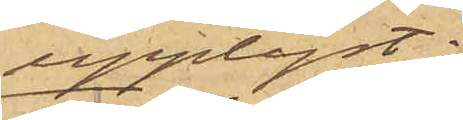upplyst:
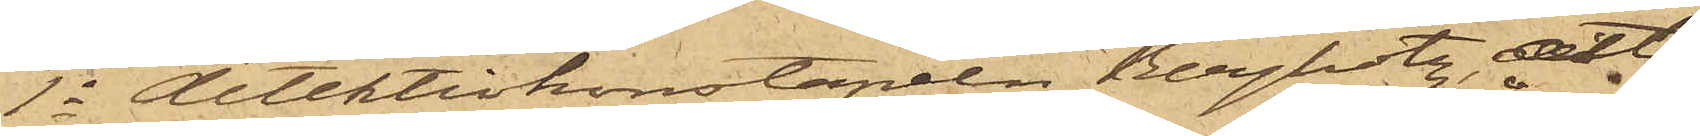1o detektivkonstapeln Bergholtz, att
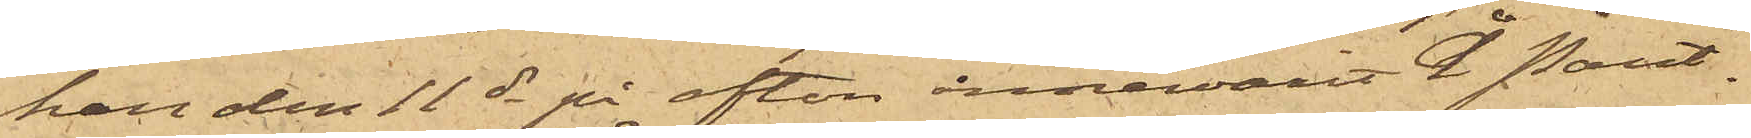han den 11 ds på afton innervarit å Pant¬
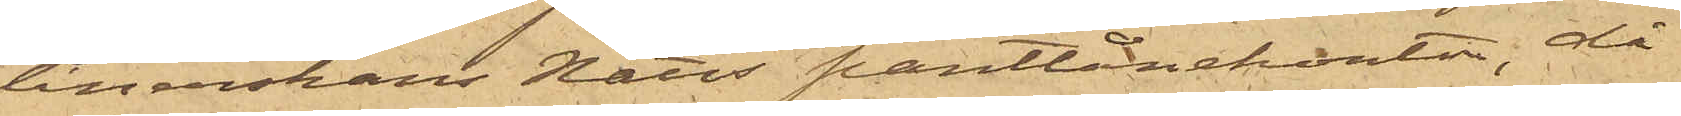lånerskan Nätts pantlånekontor, då
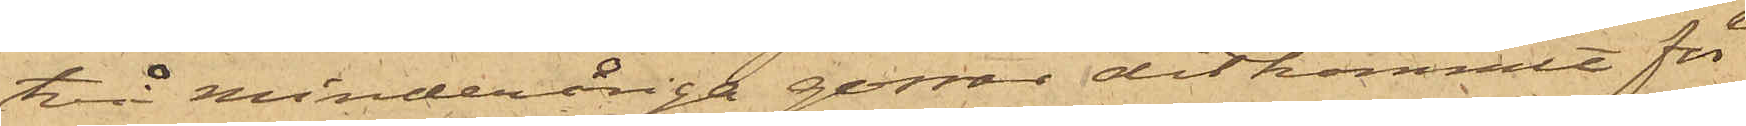två minderåriga gossar ditkommit för
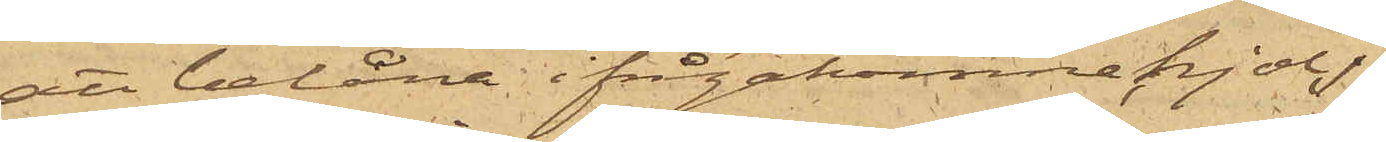att belåna ifrågakomne kjol,
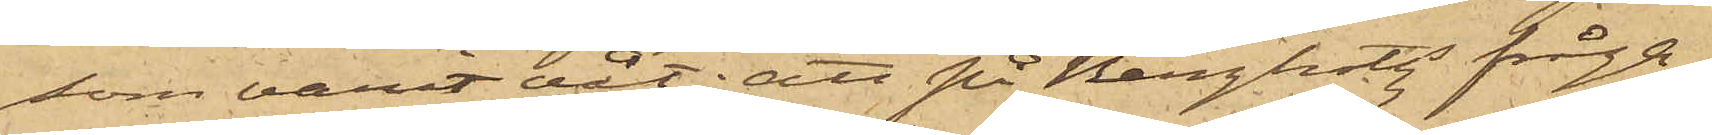som varit våt; att på Bergholtz fråga
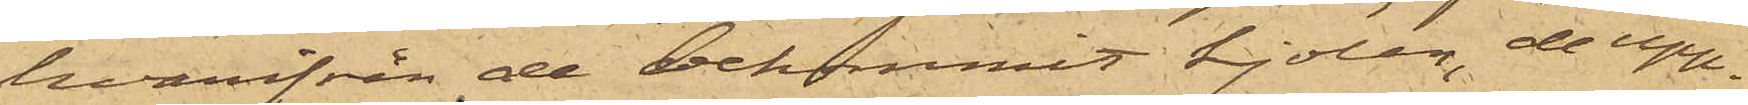hvarifrån de bekommit kjolen, de upp¬
